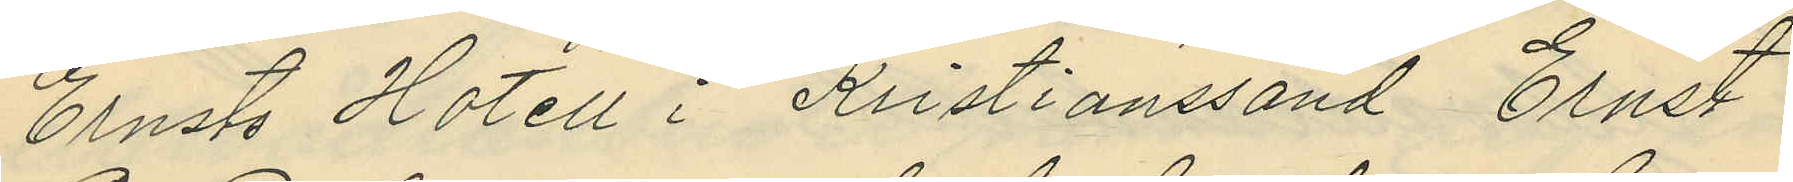Ernsts Hotell i Kristianssand Ernst
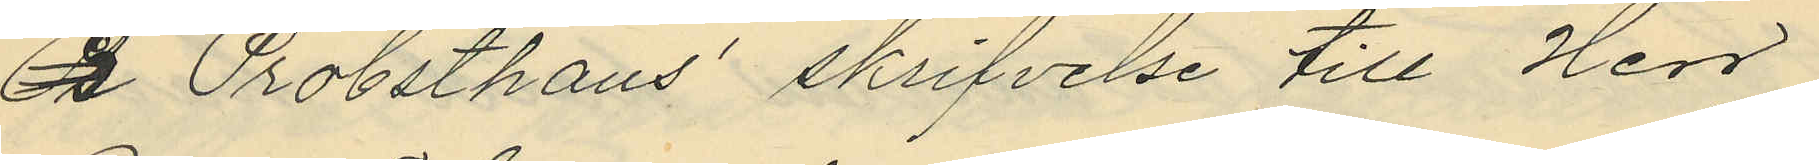B Probsthaus´ skrifvelse till Herr
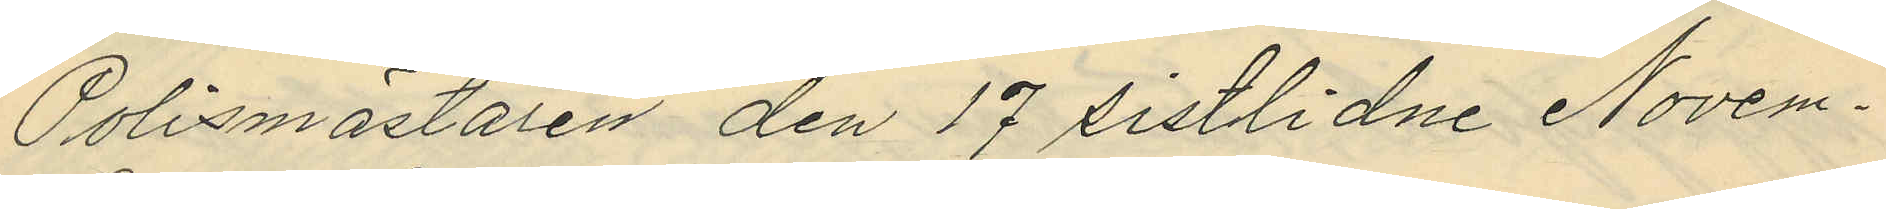Polismästaren den 17 sistlidne Novem¬
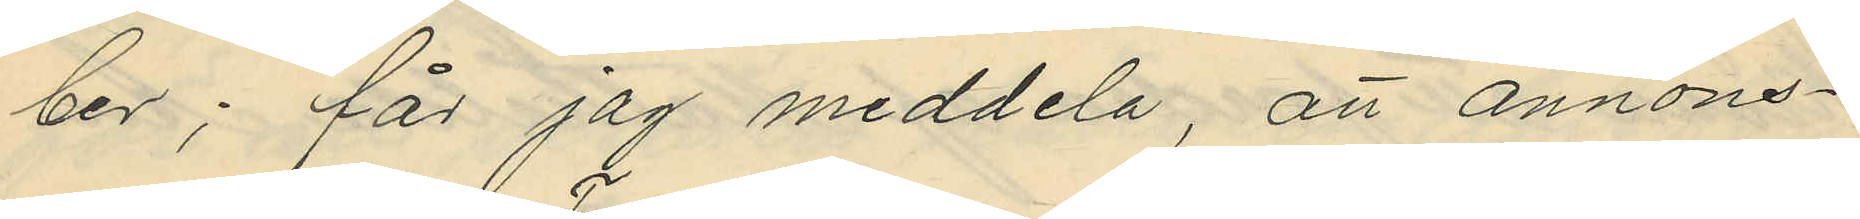ber; får jag meddela, att annons¬
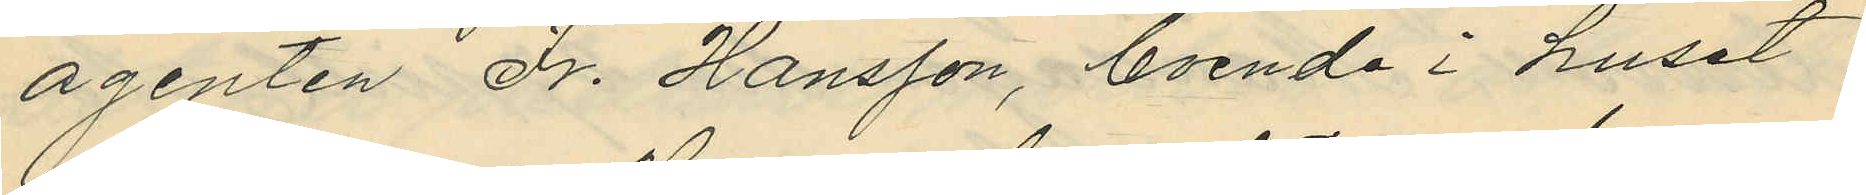agenten Fr. Hansson, boende i huset
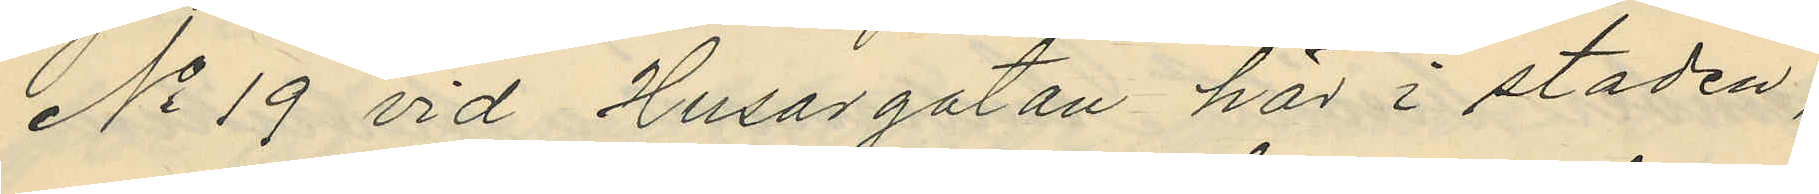No 19 vid Husargatan här i staden,
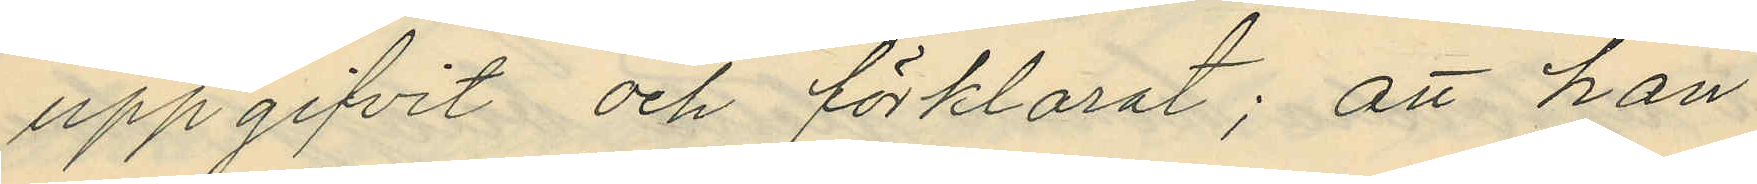uppgifvit och förklarat; att han
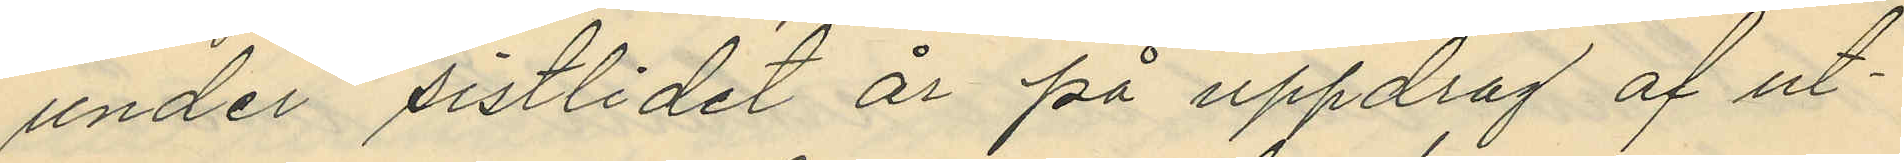under sistlidet år på uppdrag af ut¬
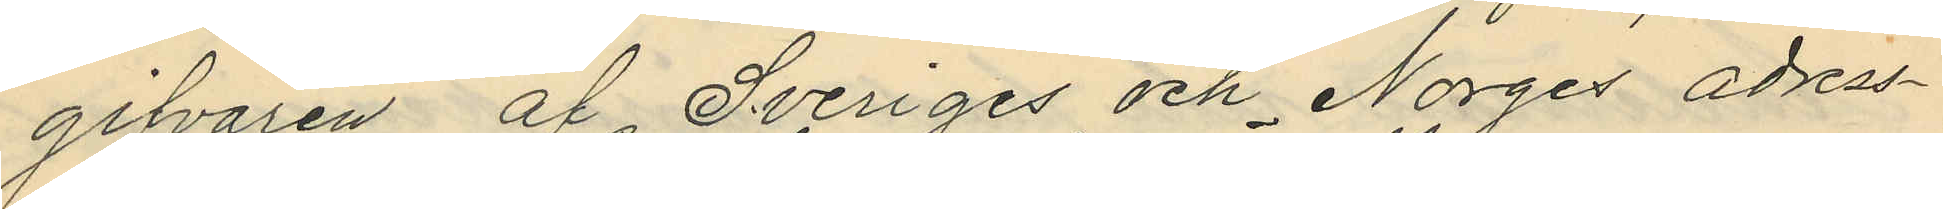gifvaren af Sveriges och Norges adress¬
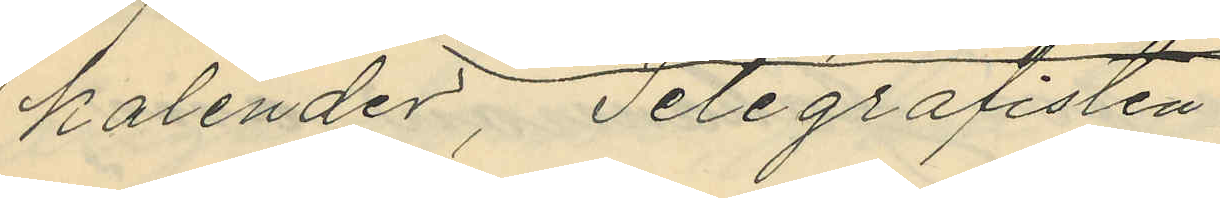kalender, Telegrafisten
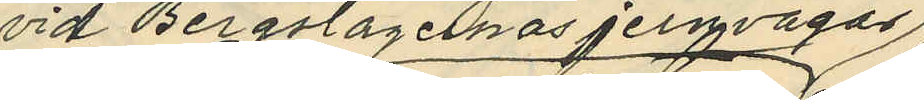vid Bergslagernas jernvägar
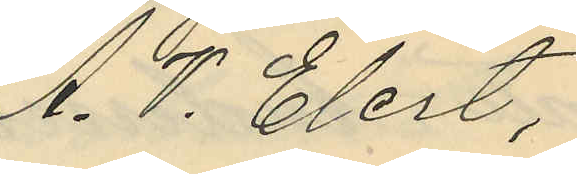A. T. Elert,
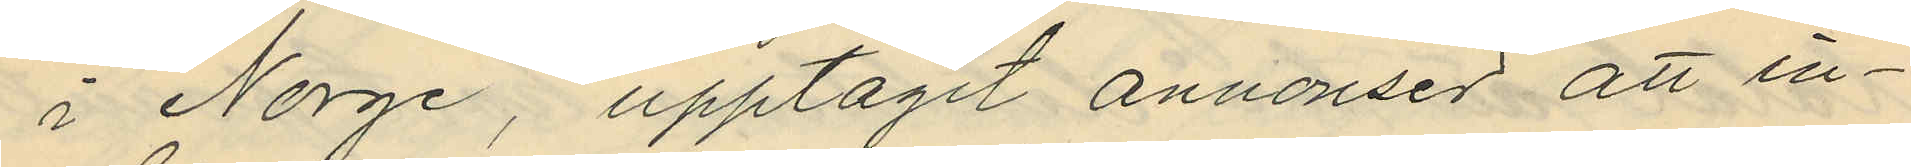i Norge, upptagit annonser att in¬
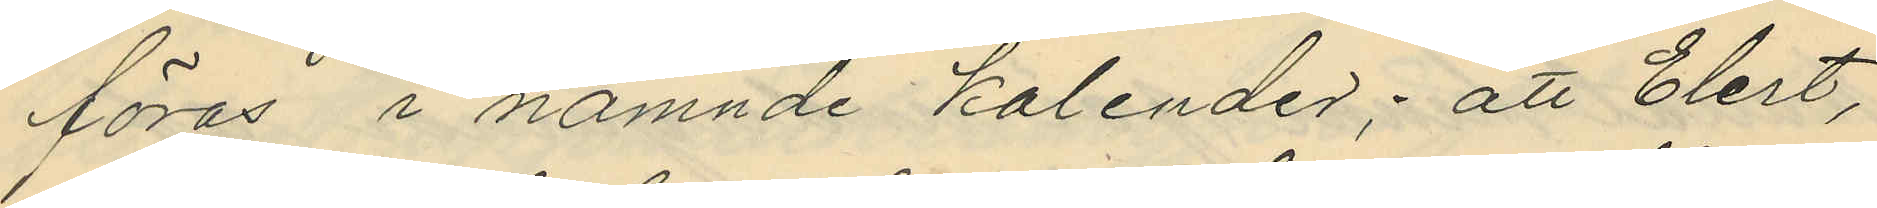föras i nämnde kalender; att Elert,
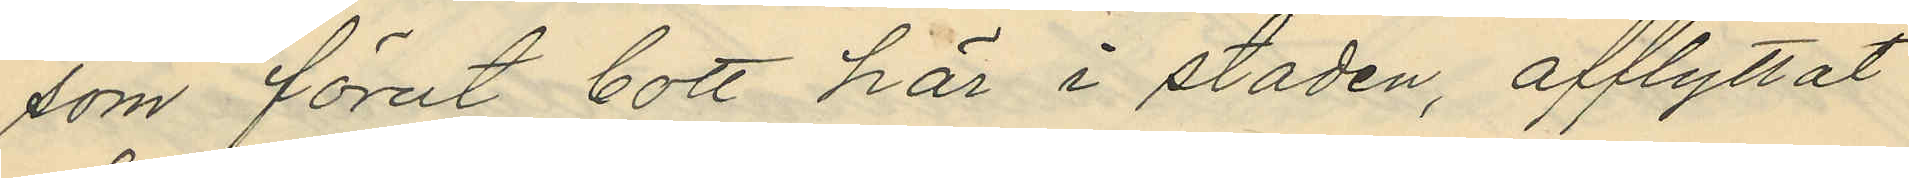som förut bott här i staden, afflyttat
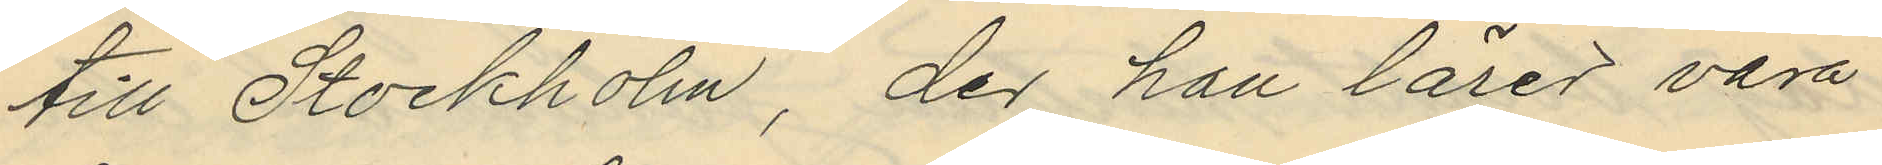till Stockholm, der han lärer vara
